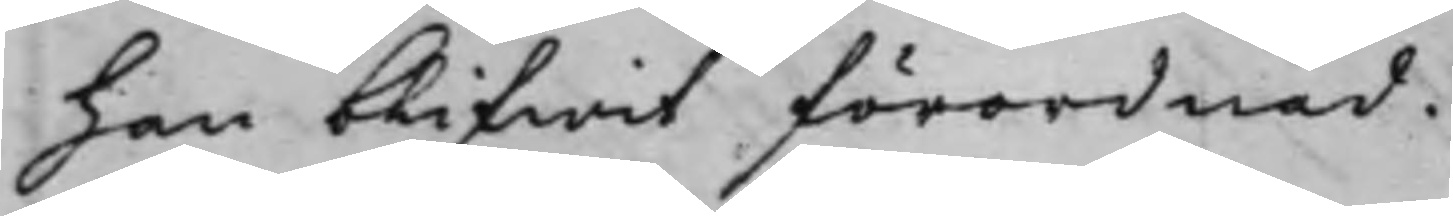han blifwit förordnad.
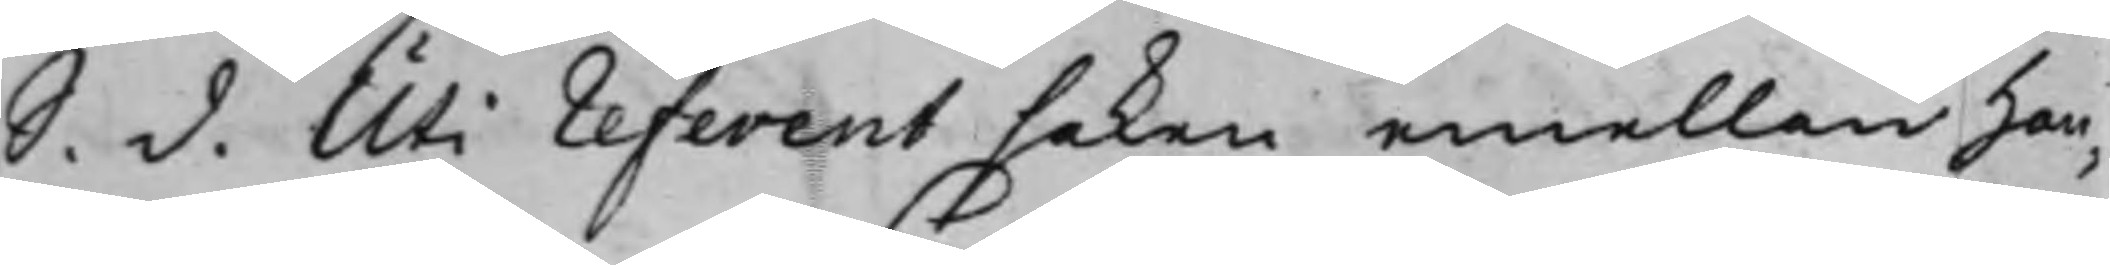S. d. Uti referent saken emellan han¬
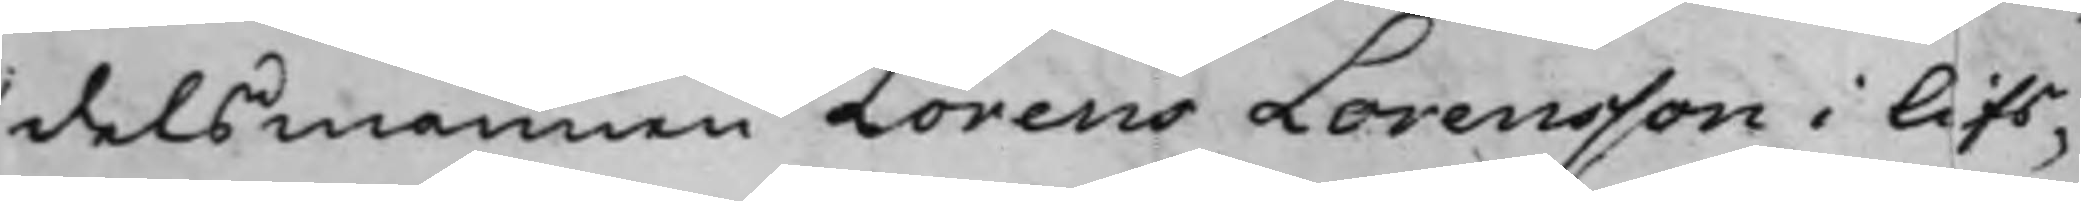delsmannen Lorens Lorensson i lifs¬
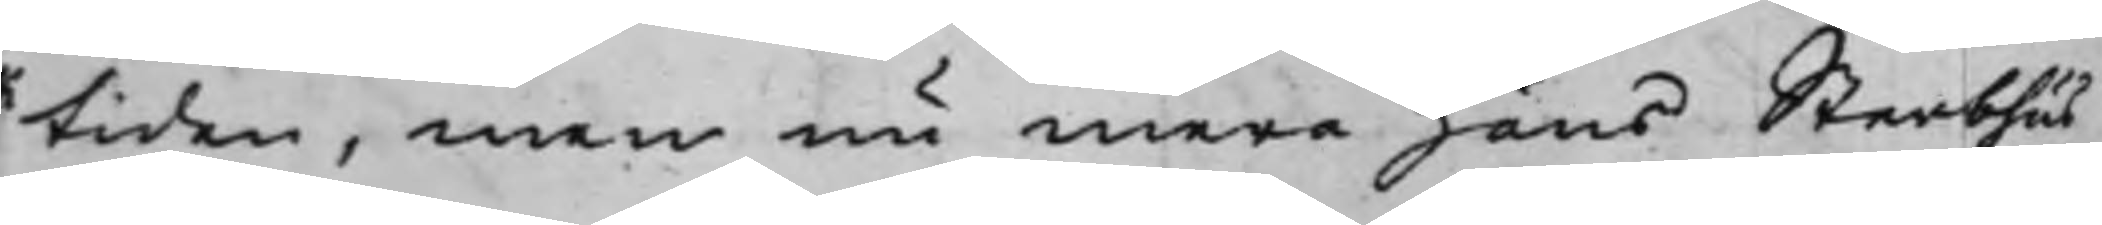tiden, men nu mera hans Sterbhus
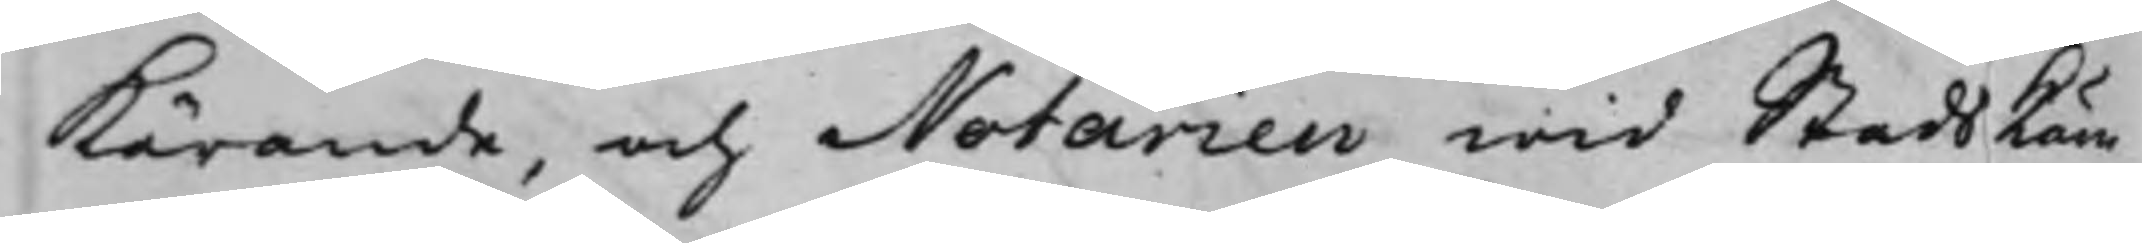Kärande, och Notarien wid StadsKäm¬
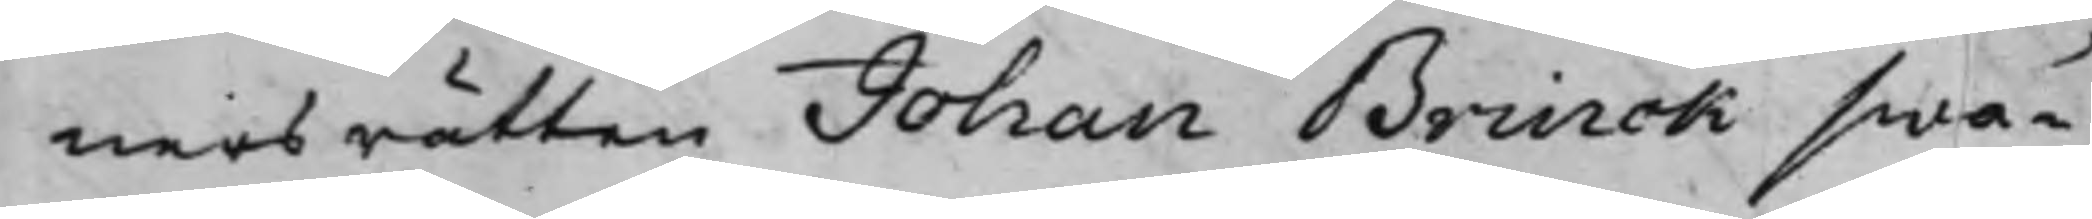nersrätten Johan Brinck swa¬
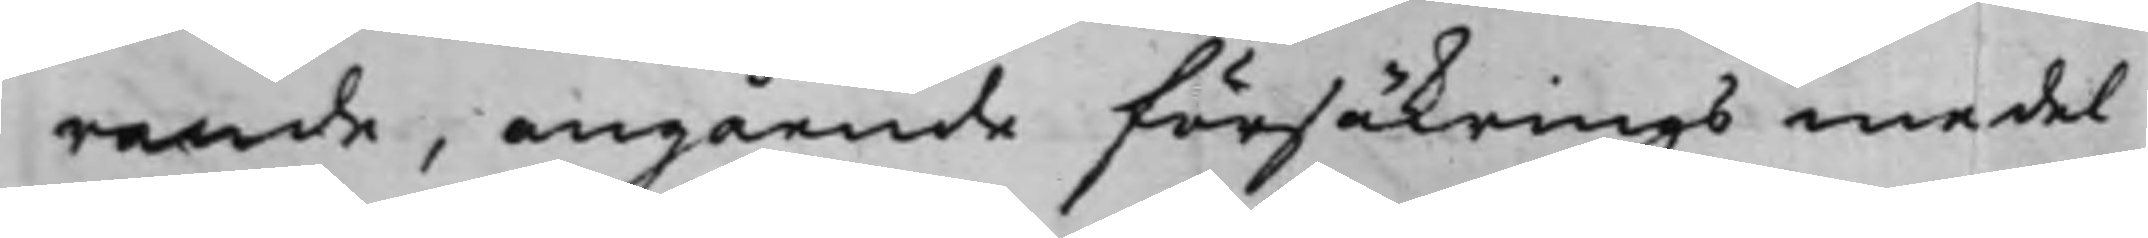rande, angående försäkringsmedel
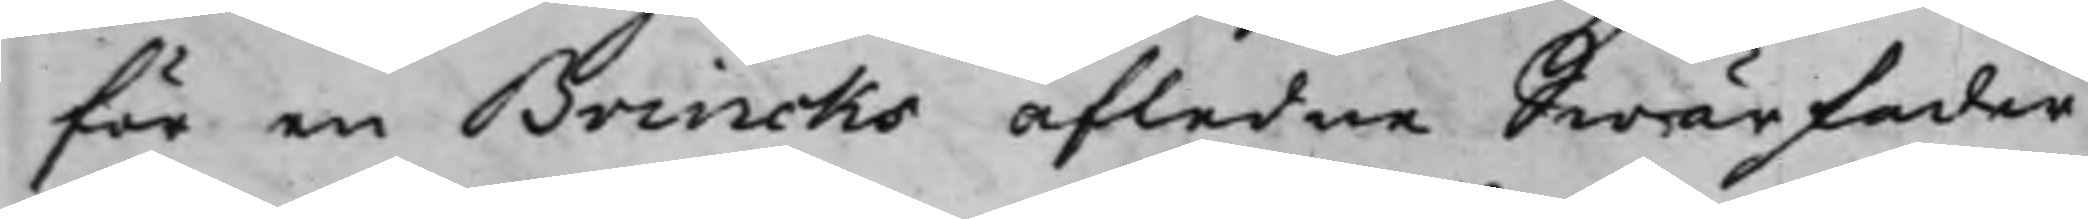för en Brincks afledne Swärfader
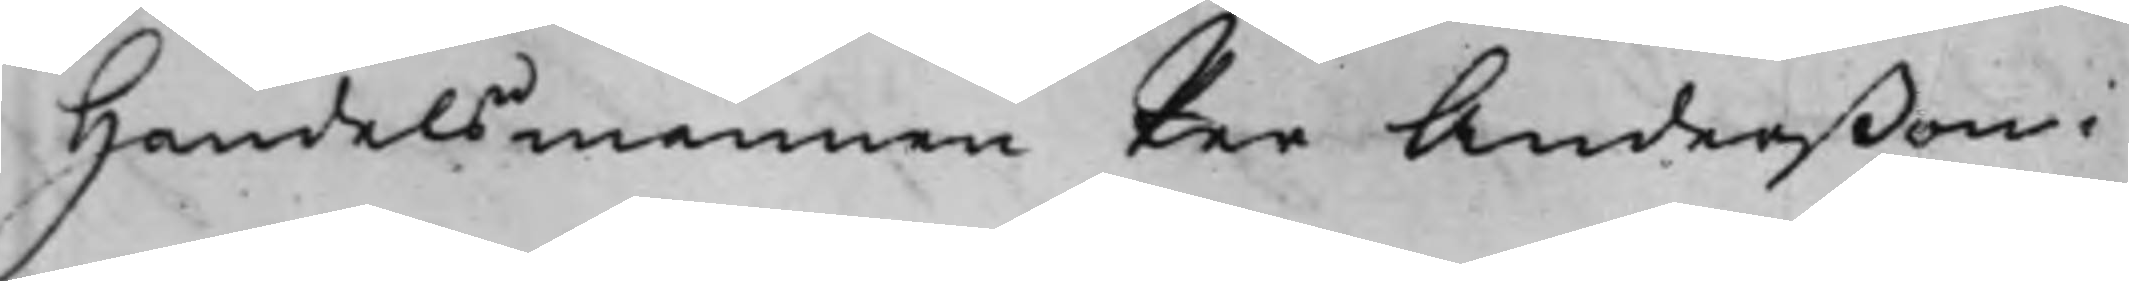Handelsmannen Per Anderßon i
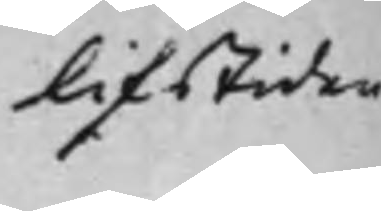lifstiden
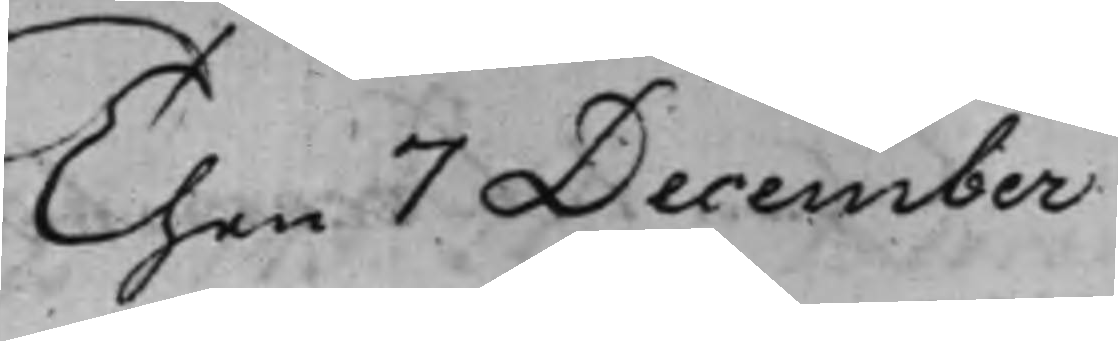Then 7 December
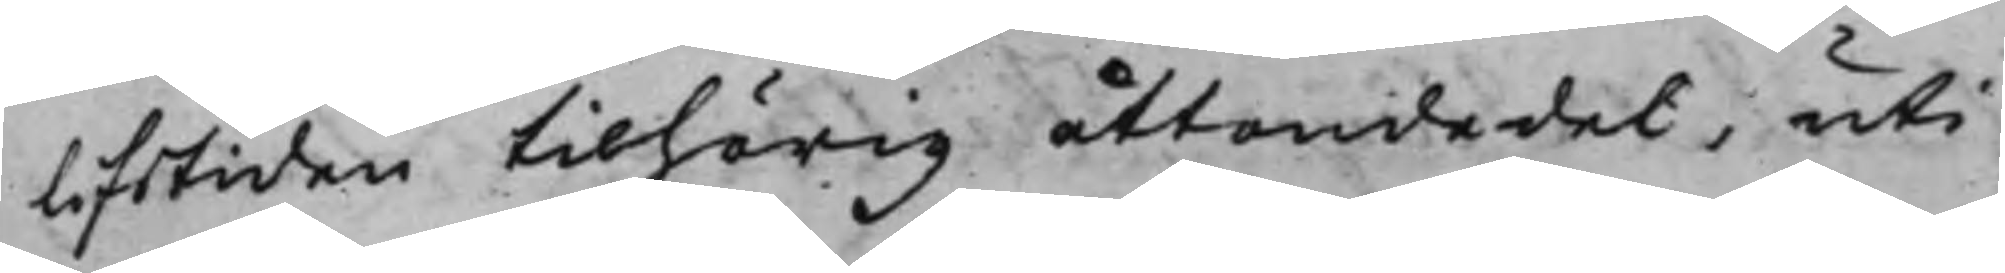lifstiden tilhörig åttondedel, uti
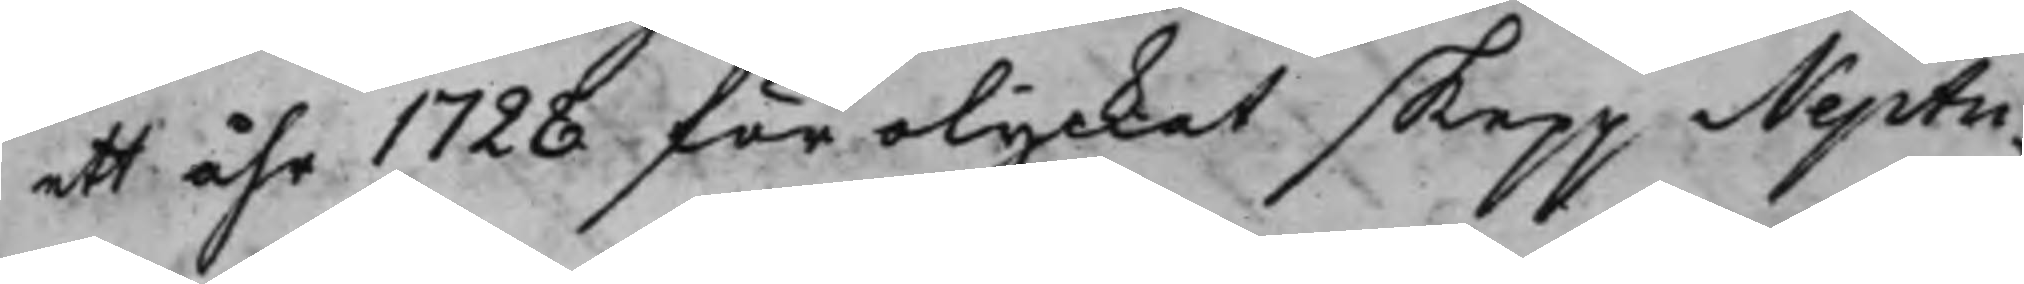ett åhr 1728 förolyckat skepp Neptu¬
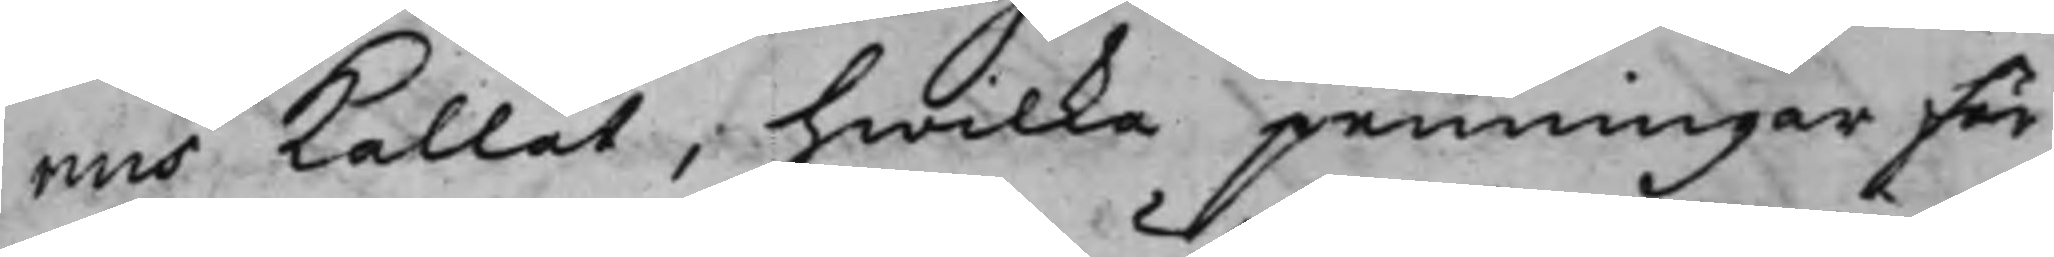nus kallat, hwilka penningar för
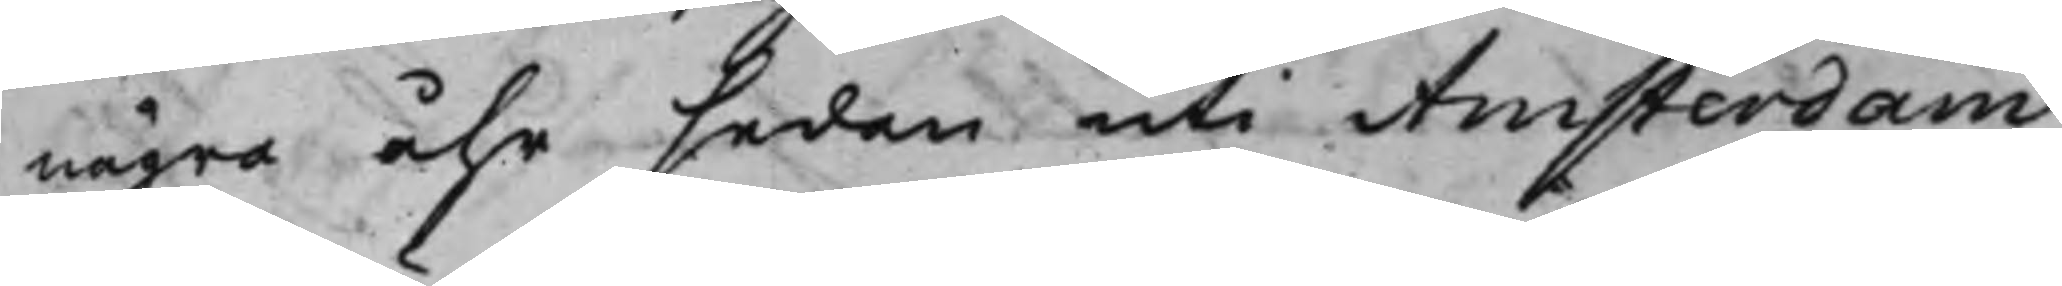några åhr sedan uti Amsterdam
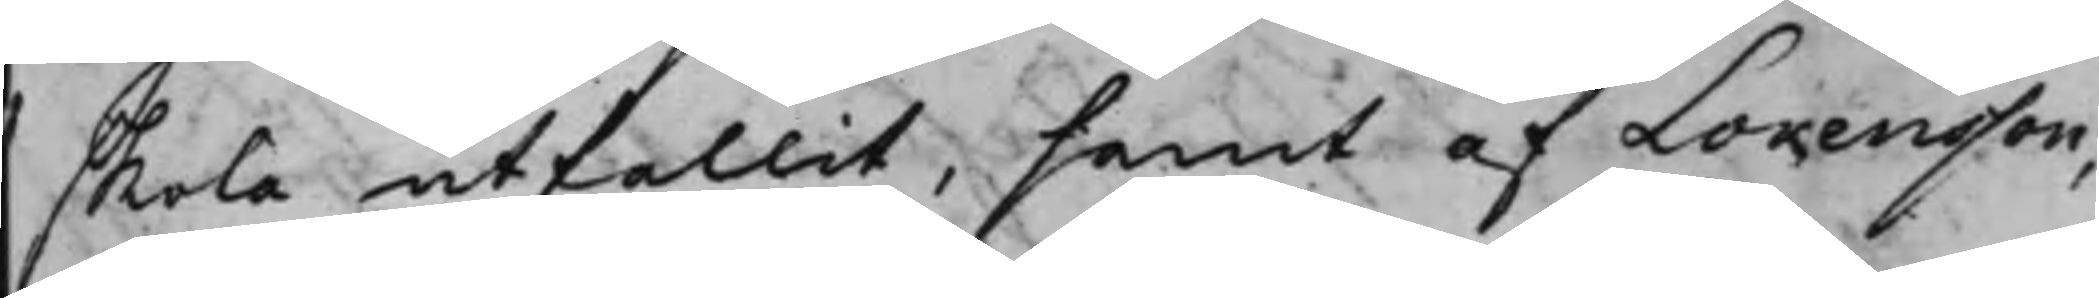skola utfallit, samt af Lorensson,
